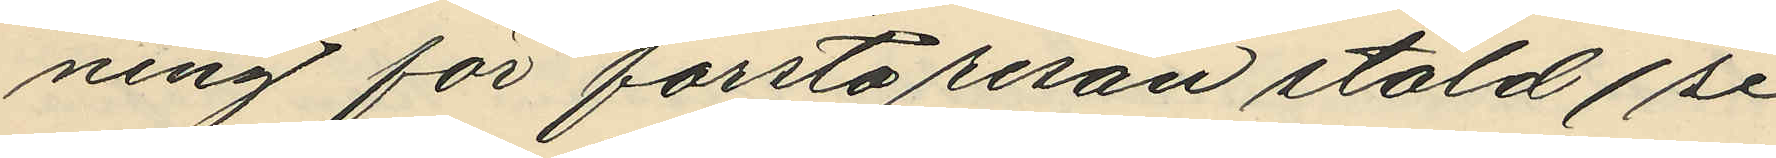ning för första resan stöld (se
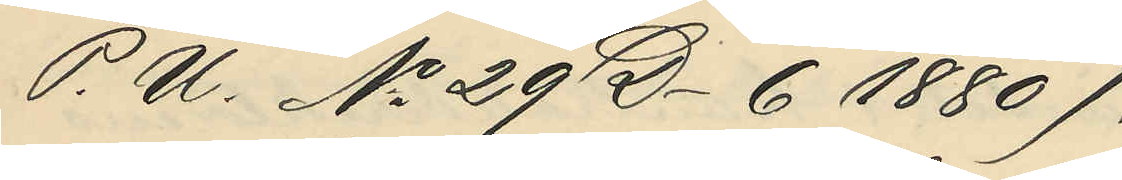P. U. No 29 D-6 1880).
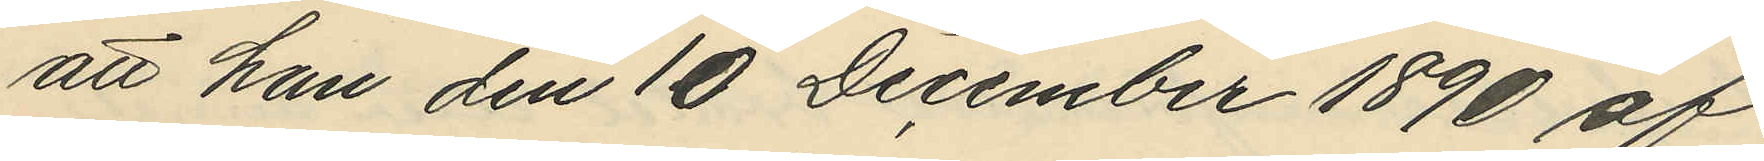att han den 10 December 1890 af
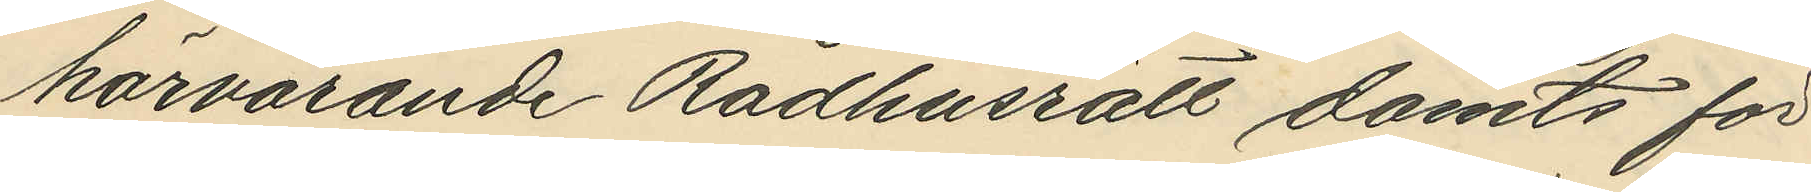härvarande Rådhusrätt dömts för
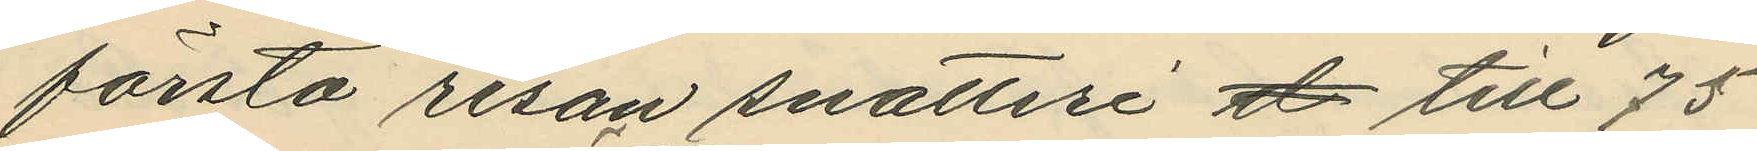första resan snatteri d till 75
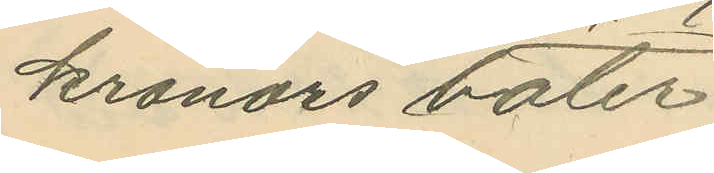kronors böter
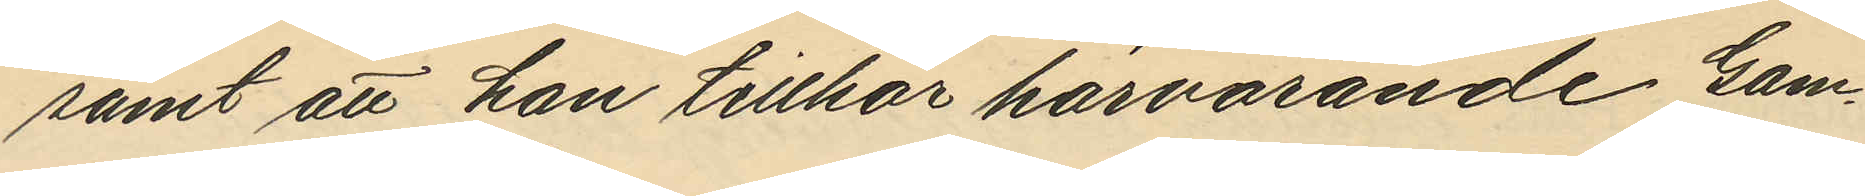samt att han tillhör härvarande Gam¬
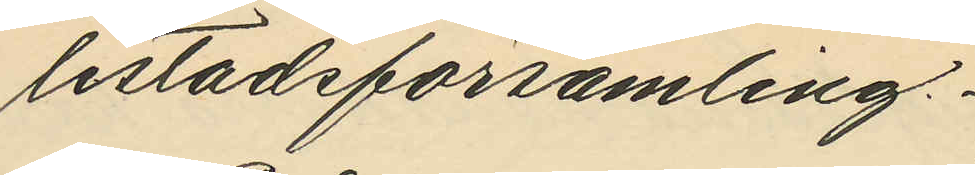lestadsförsamling.
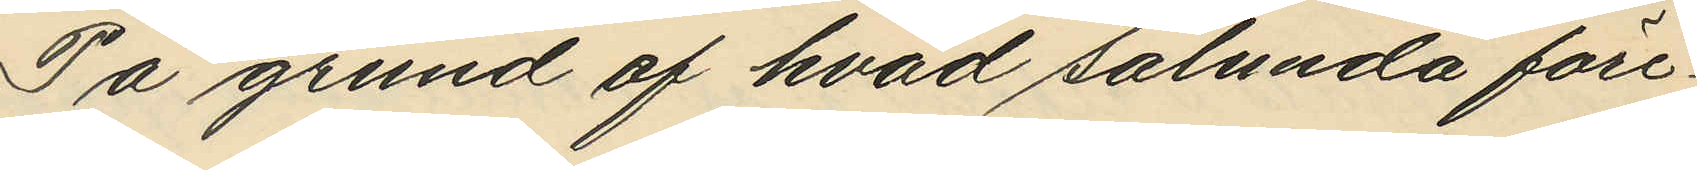På grund af hvad sålunda före¬
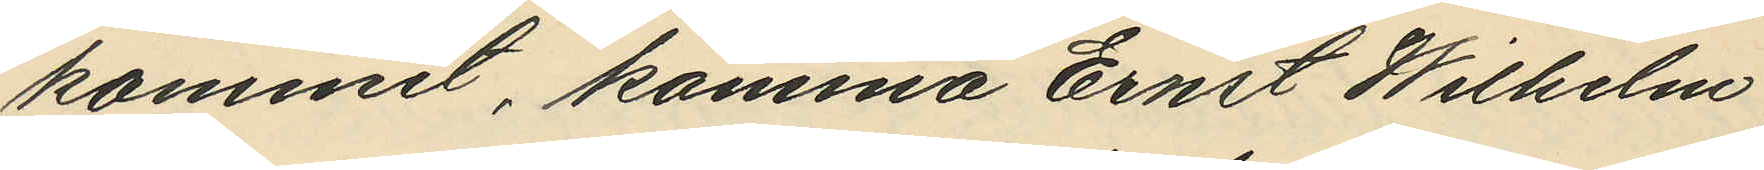kommit, komma Ernst Wilhelm
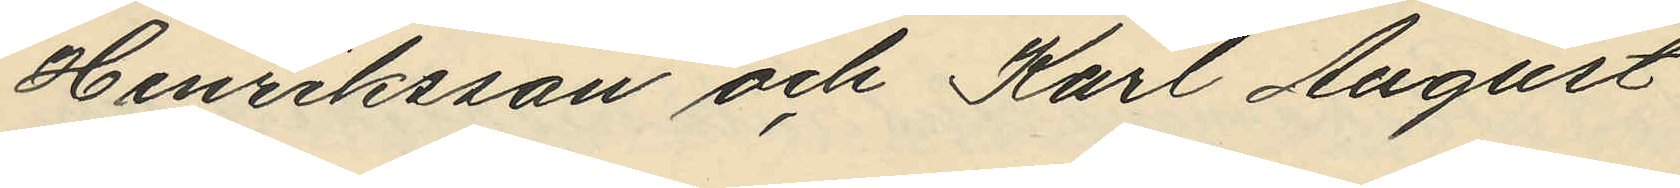Henriksson och Karl August
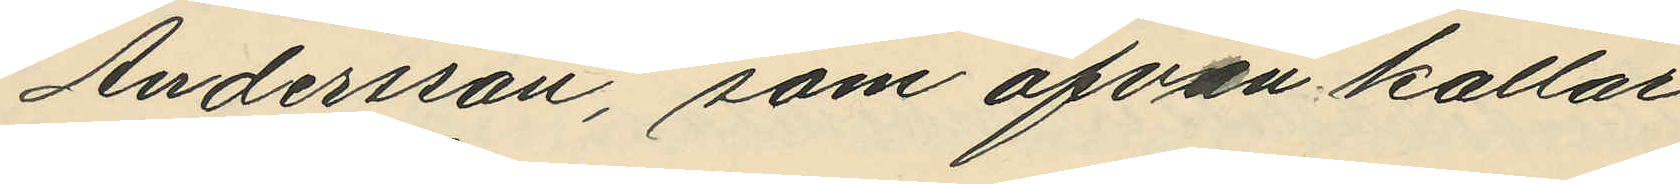Andersson, som äfven kallar
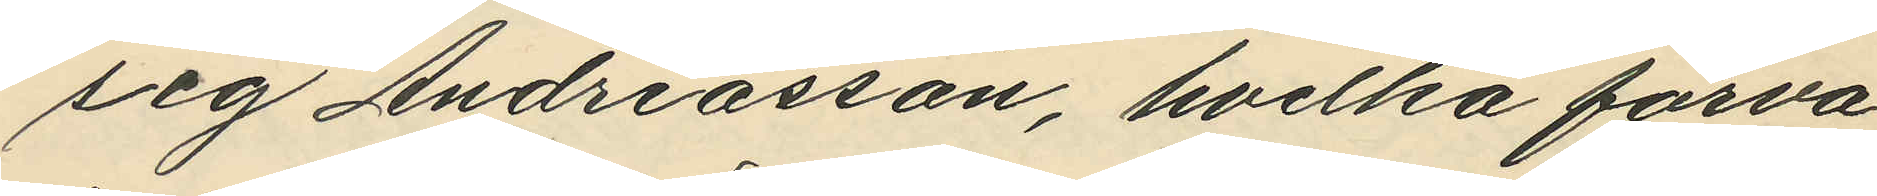sig Andreasson, hvilka förva¬
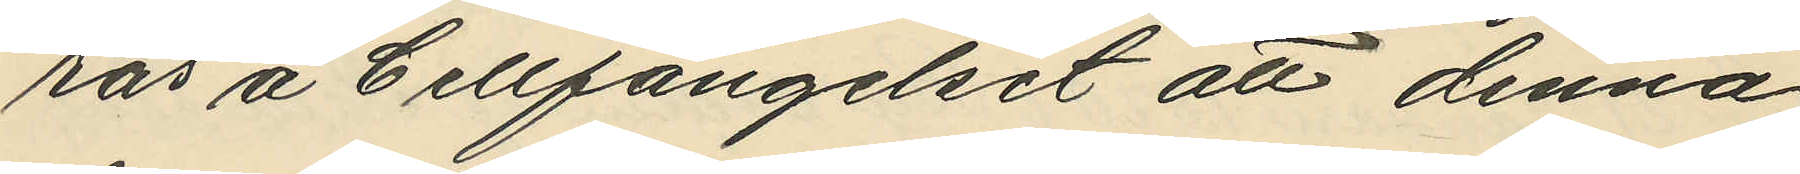ras å Cellfängelset att denna
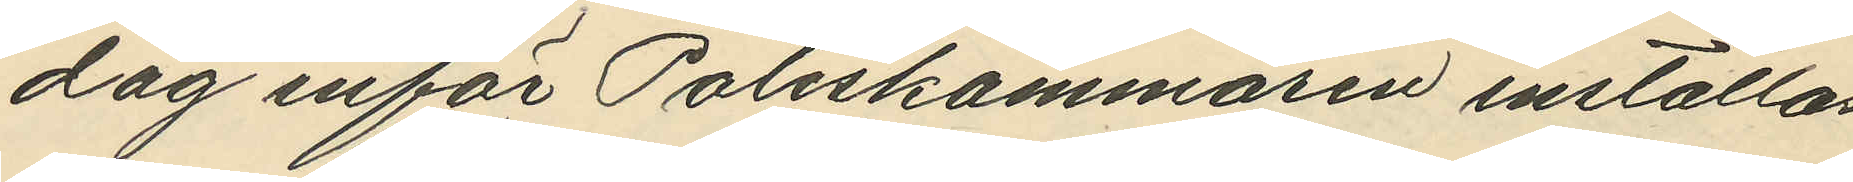dag inför Poliskammaren inställas
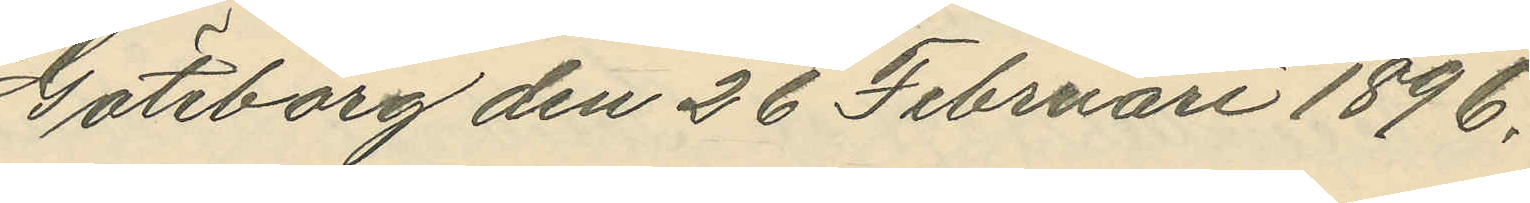Göteborg den 26 Februari 1896.
